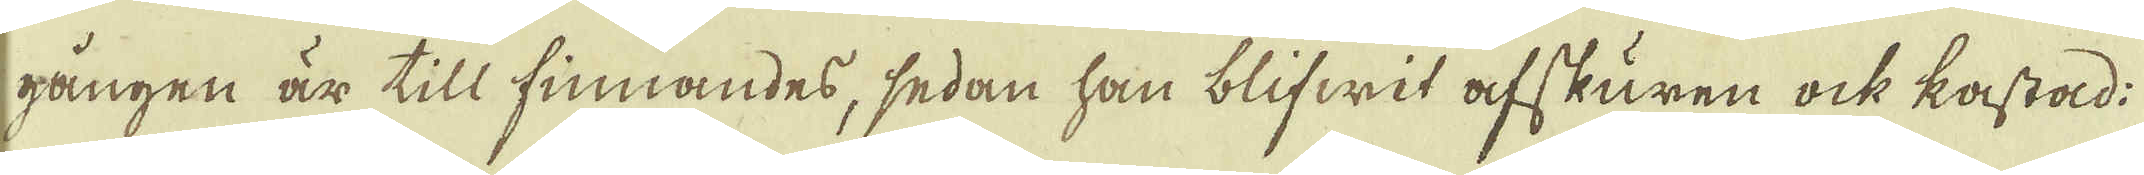gången är till finnandes, sedan han blifwit afskuren ock kastad.
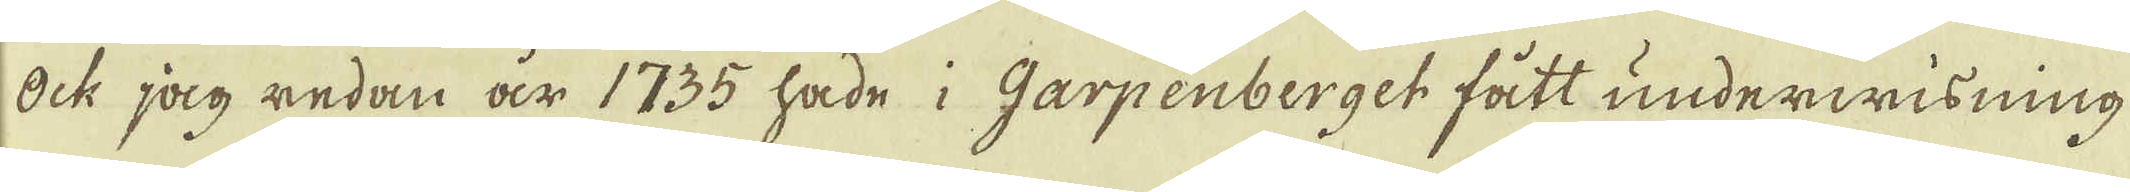Ock jag redan är 1735 hade i Garpenberget fått underwisning
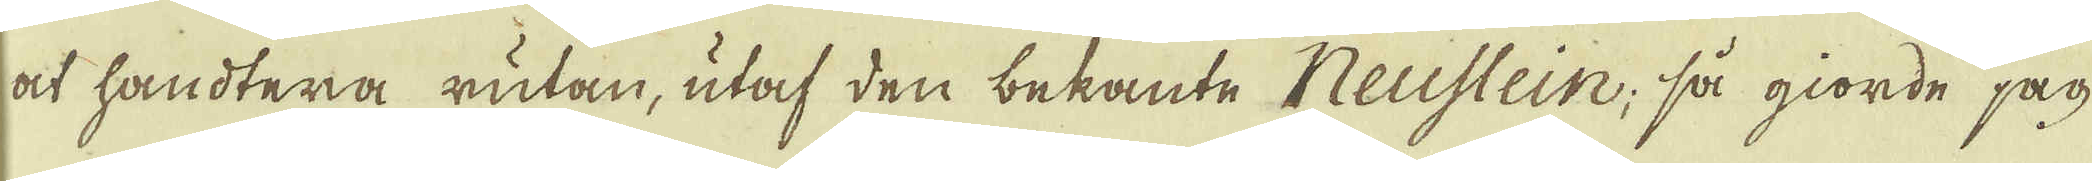at handtera rutan, utaf den bekante Neustein, så gjorde jag
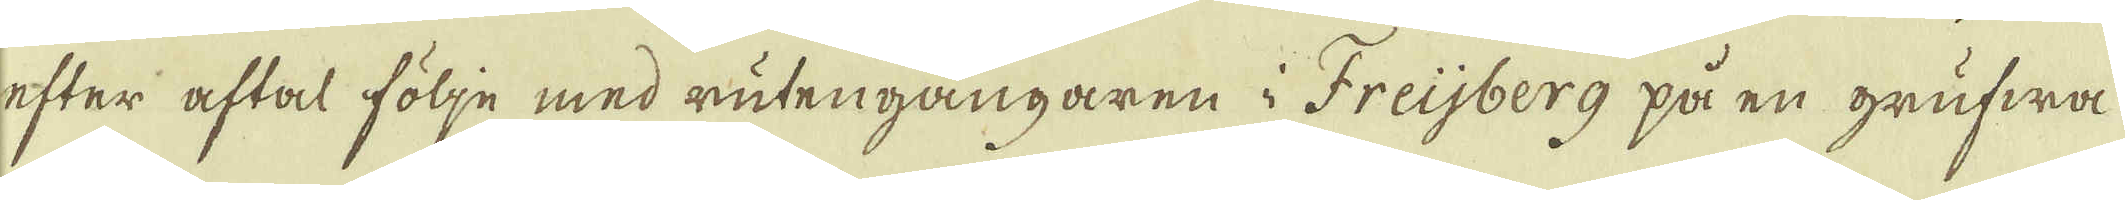efter aftal följe med rutengångaren i Freijberg på en grufwa
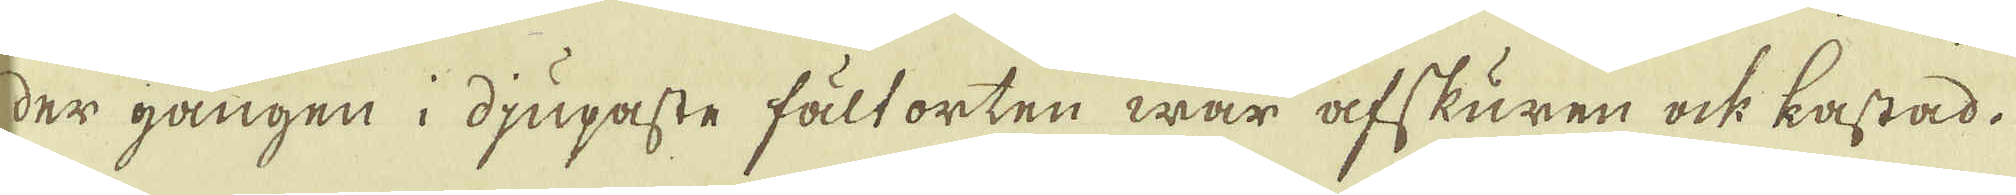der gången i djupaste fält orten war afskuren ock kastad.
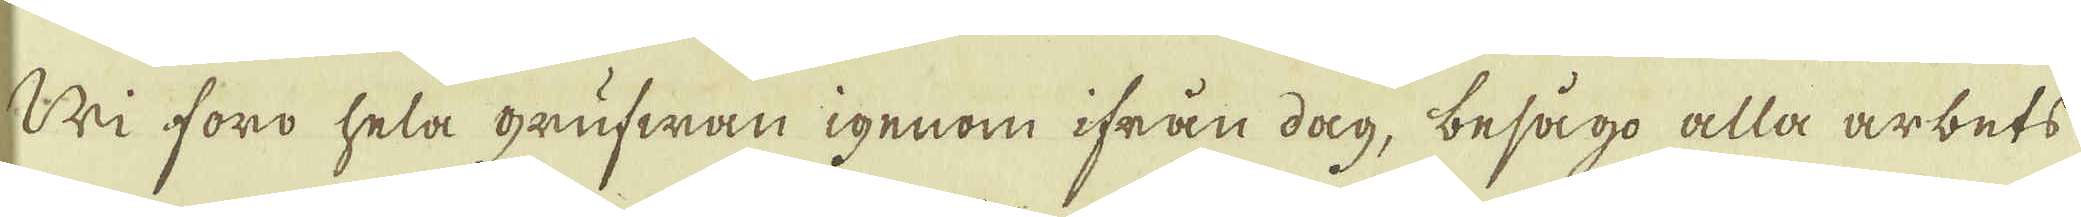Vi föro hela grufwan igenom ifrån dag, besågo alla arbets
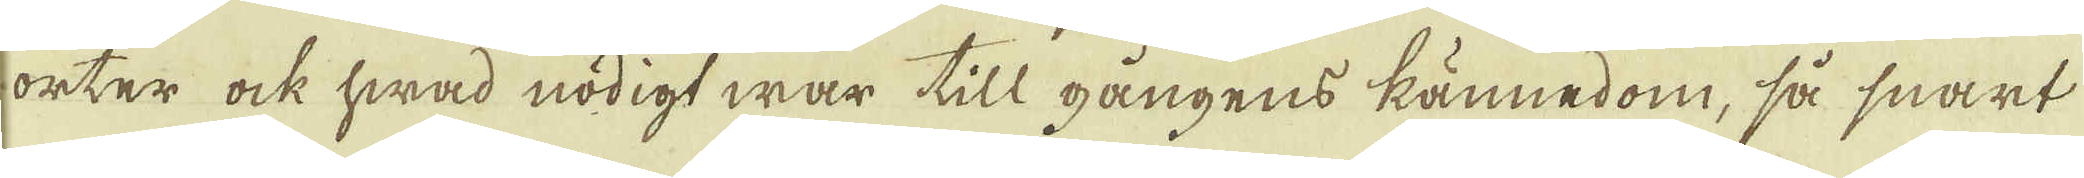orter ock hwad nödigt war till gångens kännedom, så snart
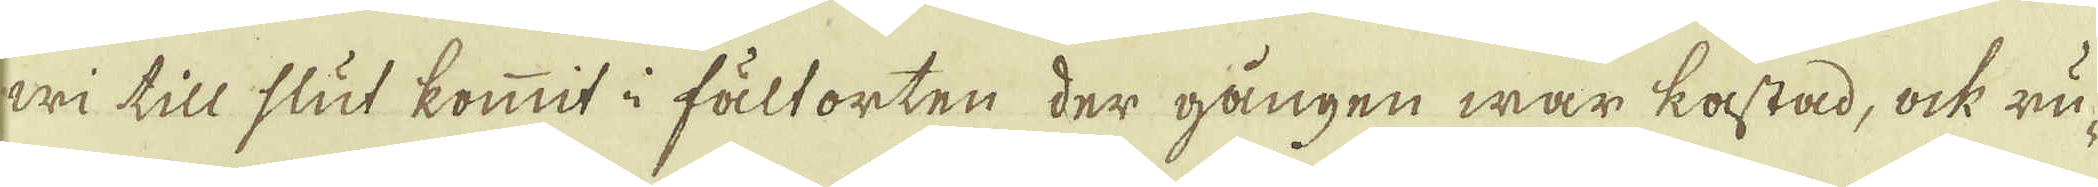wi till slut kommit i fält orten der gången war kastad, ock nu
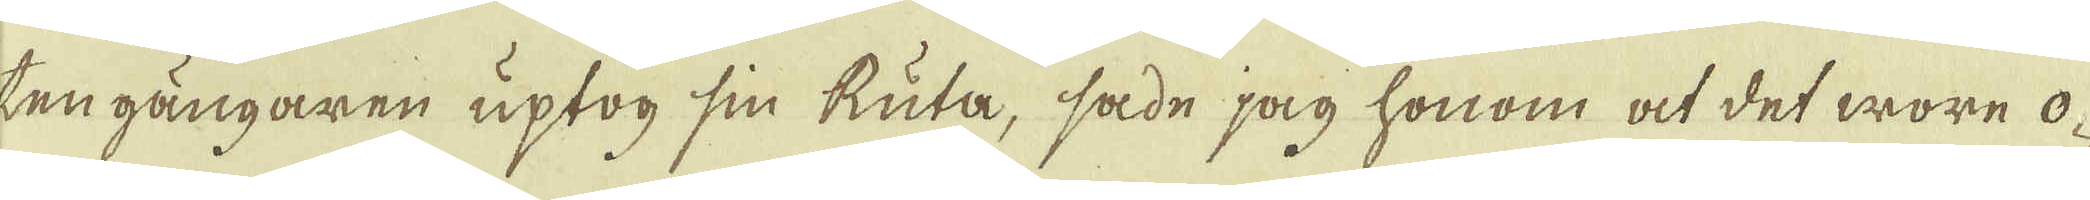ten gångaren uptog sin kuta, sade jag honom at det wore o-
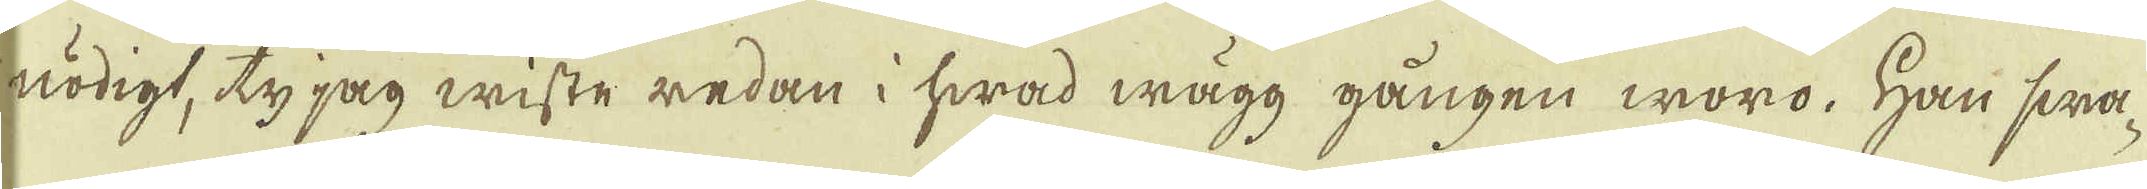nödigt, ty jag wiste redan i hwad wägg gången woro. Han swa-
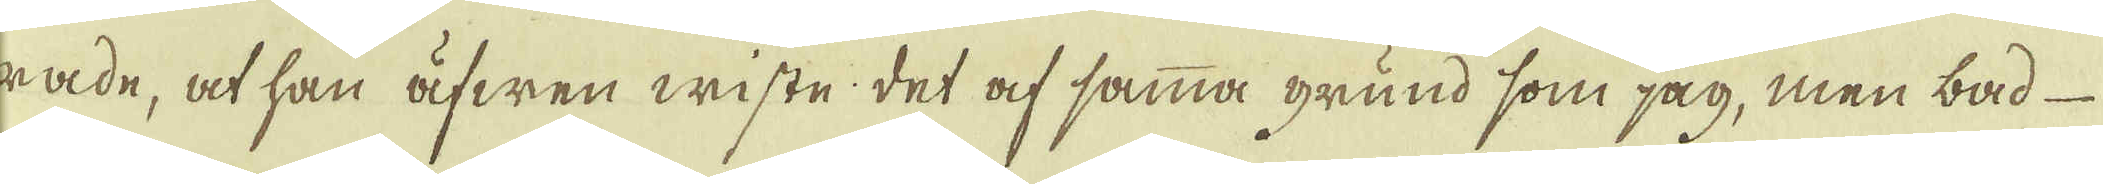rade, at han äfwen wiste det af samma grund som jag, men båd
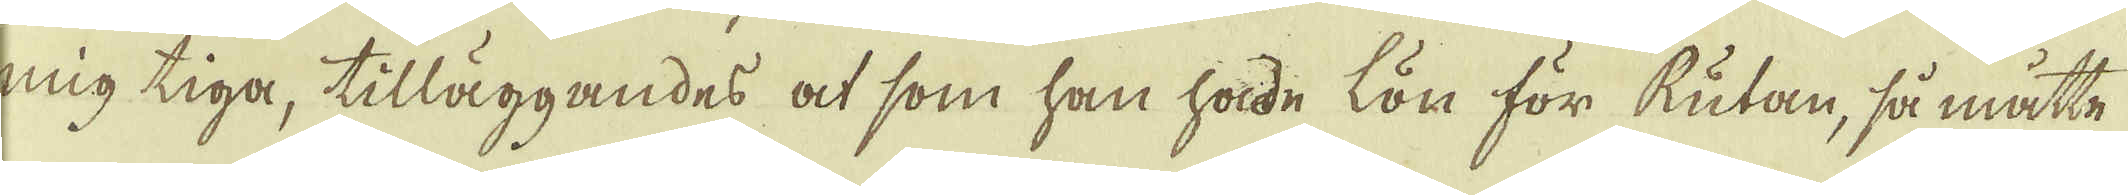mig tiga, tilläggandes at som han hade lön för kutan, så måtte
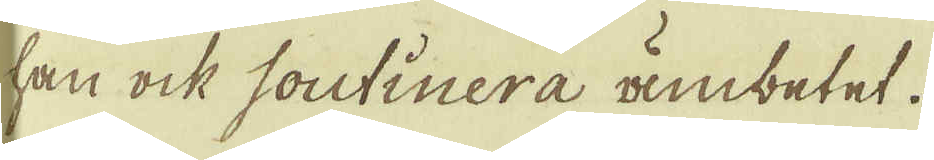han ock soutinera ambetet.
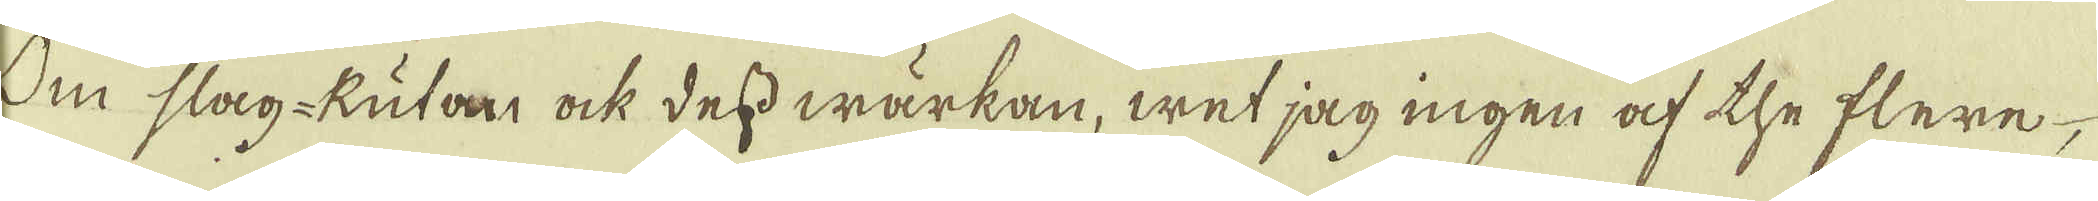Om slag-Rutan ock dess wärkan, wet jag ingen af the flere
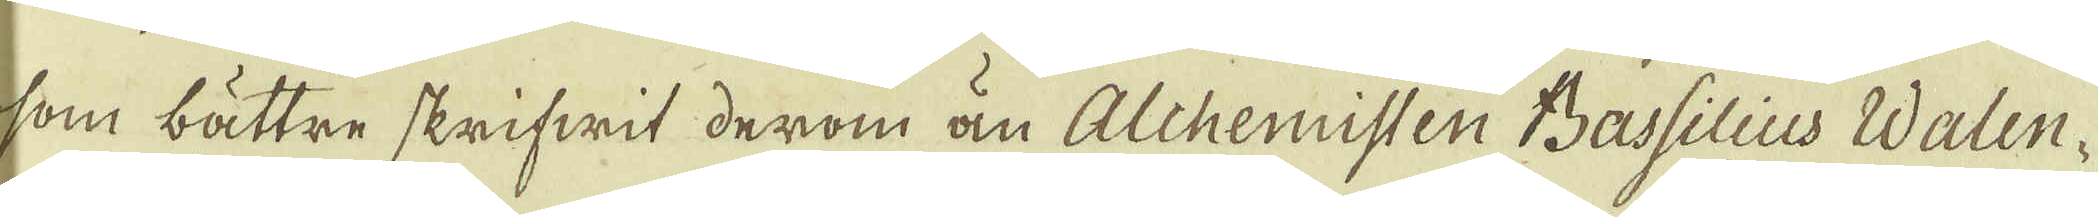som bättre skrifwit derom än Alchemisten Bassilius Walen-
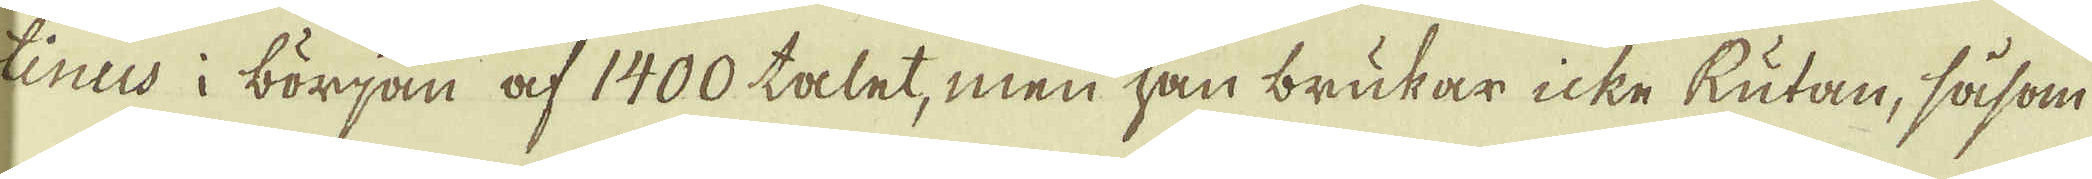Enus i början af 1400 talet, men han brukar icke Rutan, såsom
